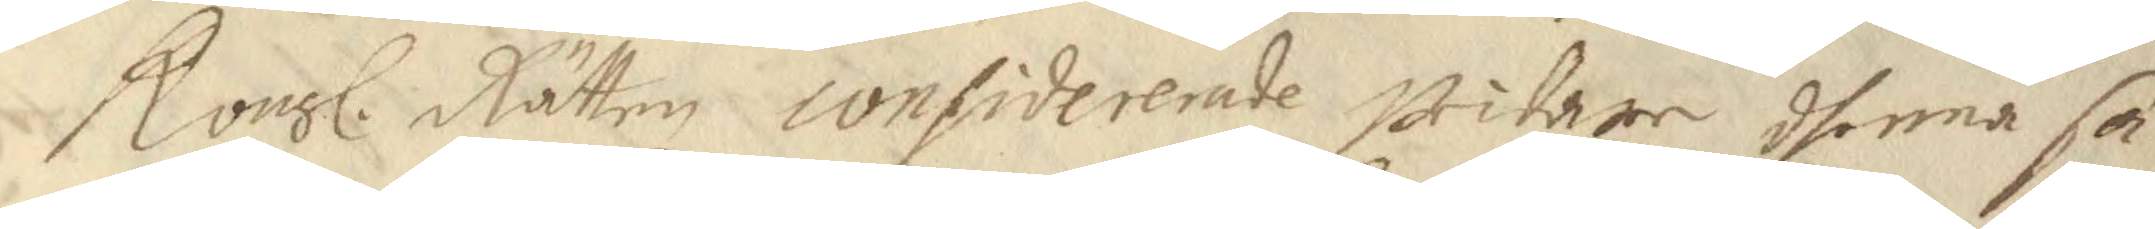Kongl. Rätten confidererade widare dhenna sa¬ 
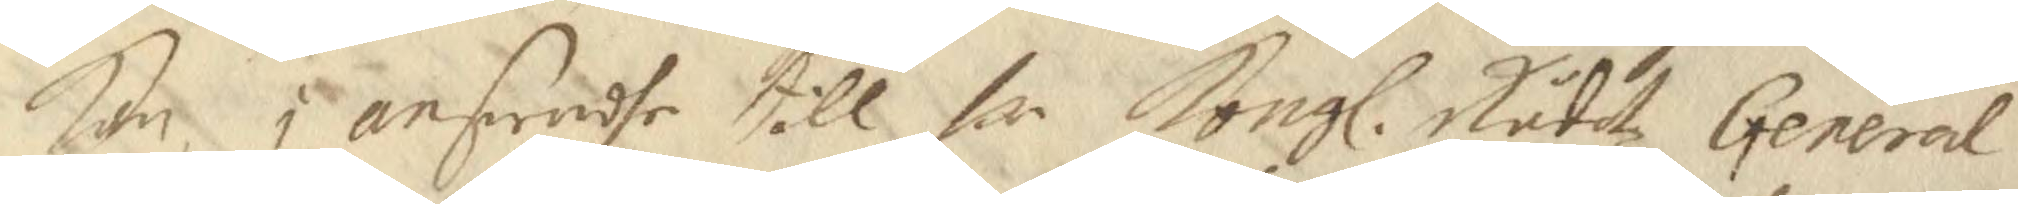kan, i anseendhe till hr Kongl. Rådetz General 
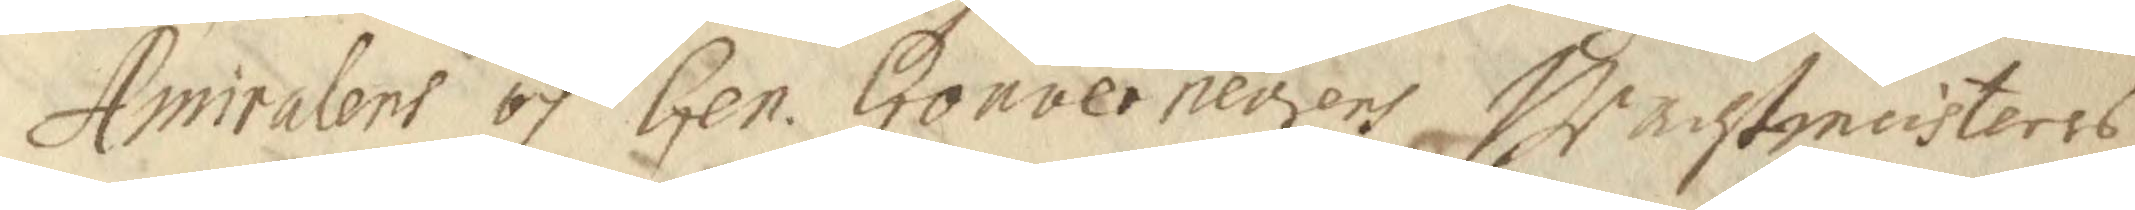Amralens och Gen. Gouverneurens Wachtmeisteres 
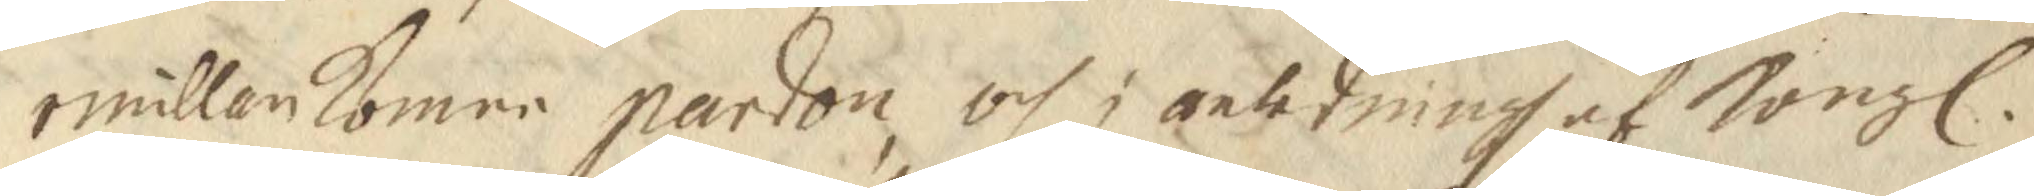emillankomne pardon, och i anledning af Kongl. 
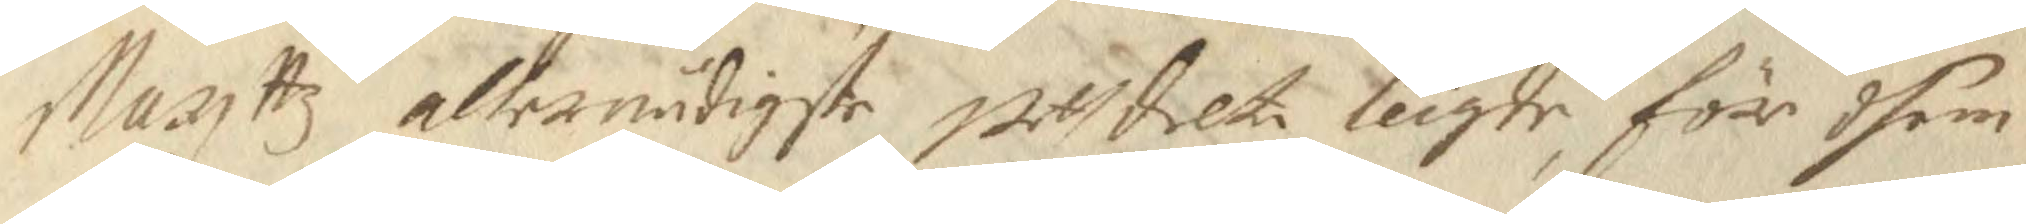Mayttz allernådigste utdelte leigde, för dhem 
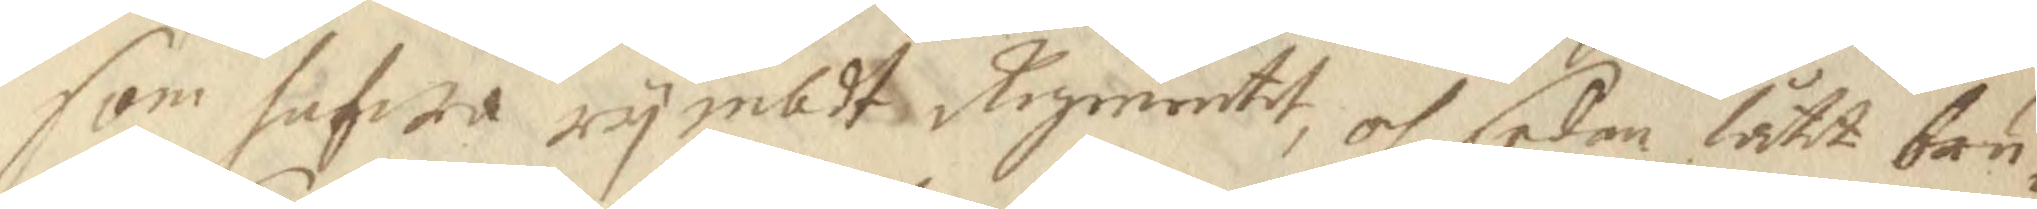som hafwa rymbdt Regmentet, och sedan låtit bru¬
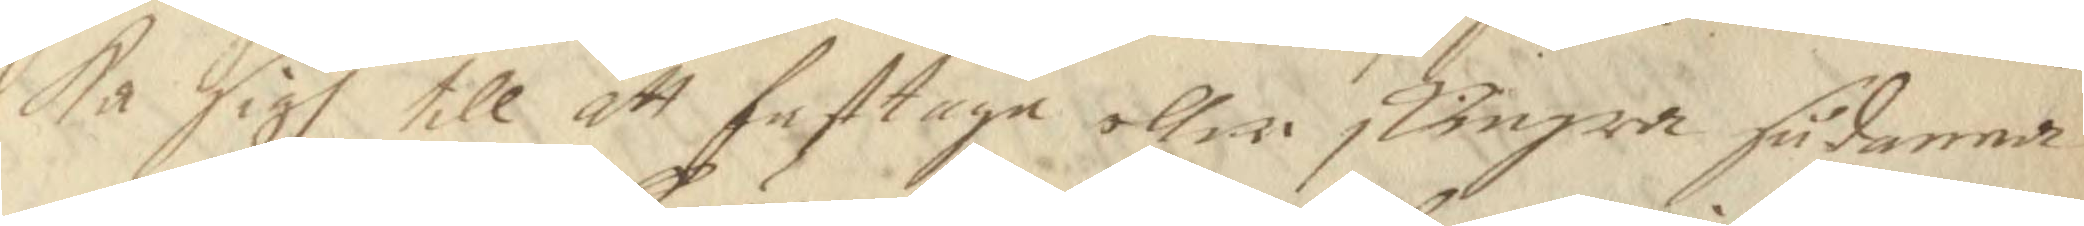ka sigh till att fasttaga eller skingra sådanna
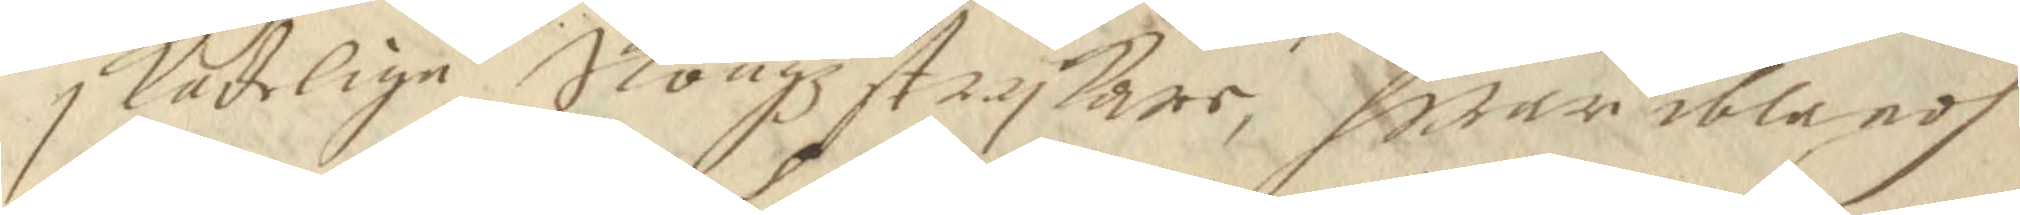skadelige Skougzstrykare, whar iblandh
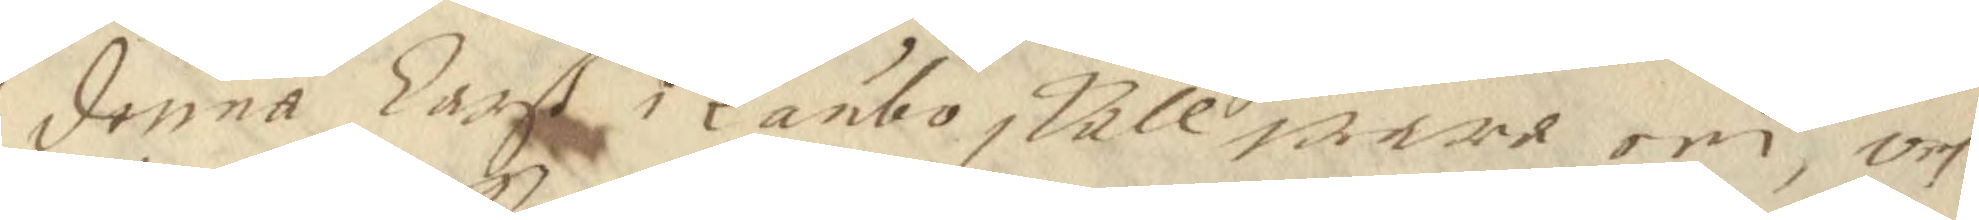denna Larß i Länbo skall wara een, och
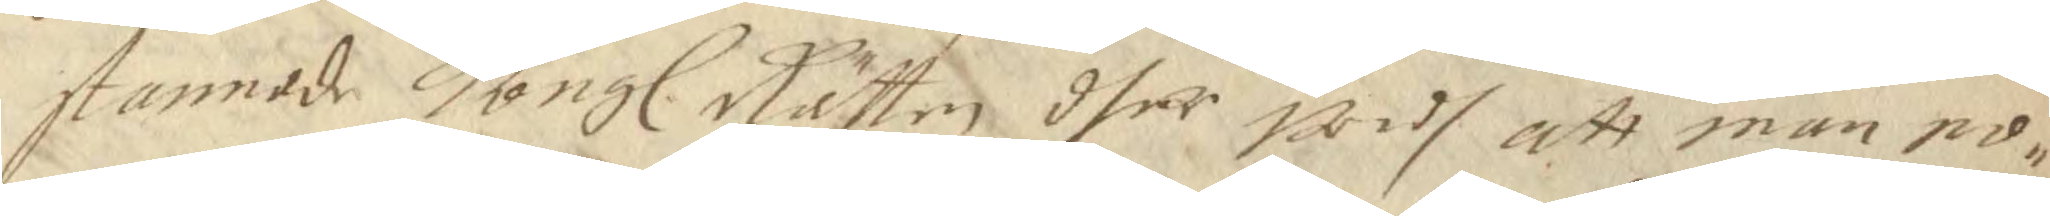stannade Kongl. Rätten dher widh att man no¬ 
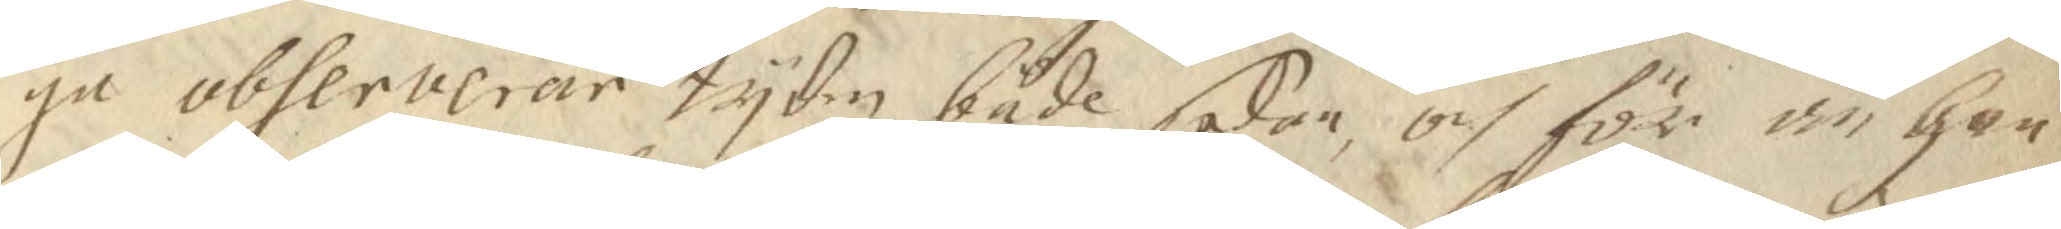ga observerar tyden både sedan, och för än Han
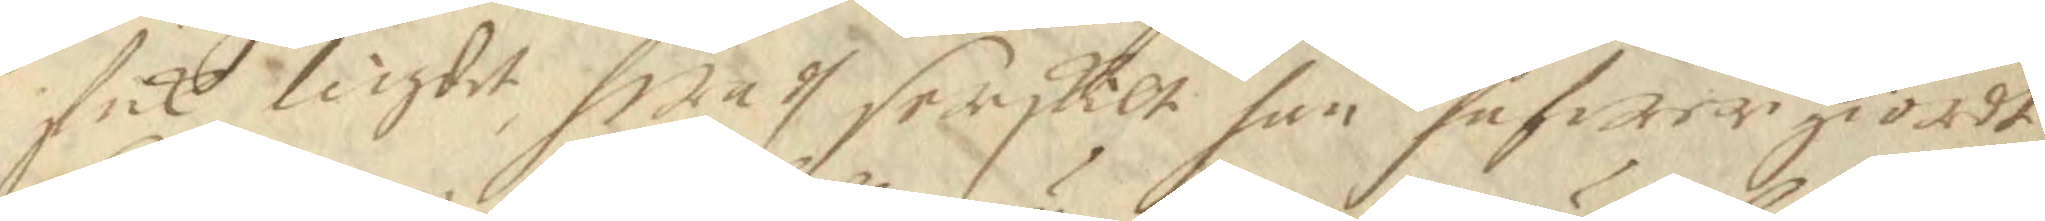fick leigdt, hwadh serskilt han hafwer giordt
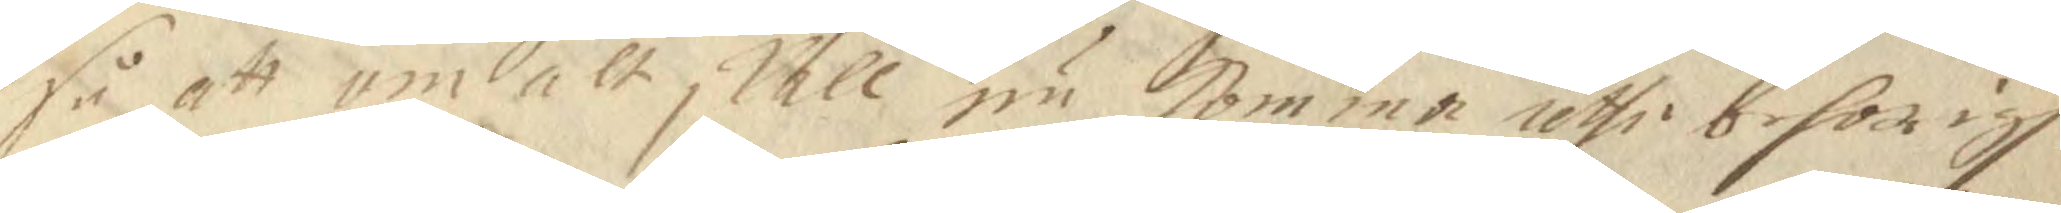så att om alt skall nu Komma uthi behörigh
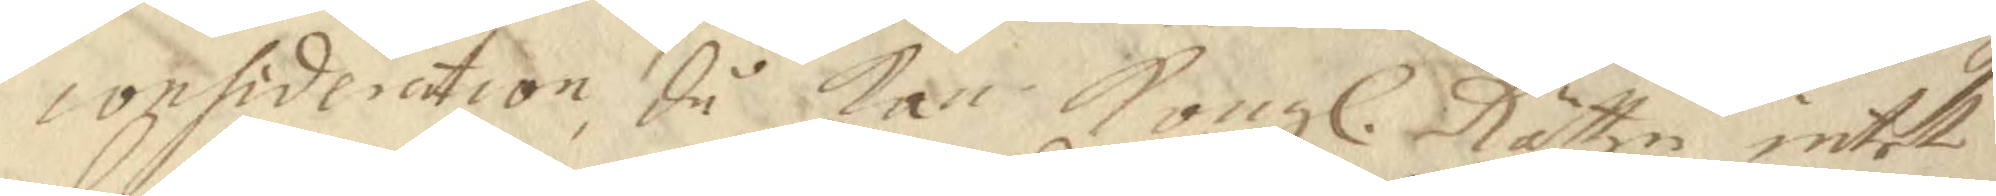consideration, då kan Kongl. Rätten intet 
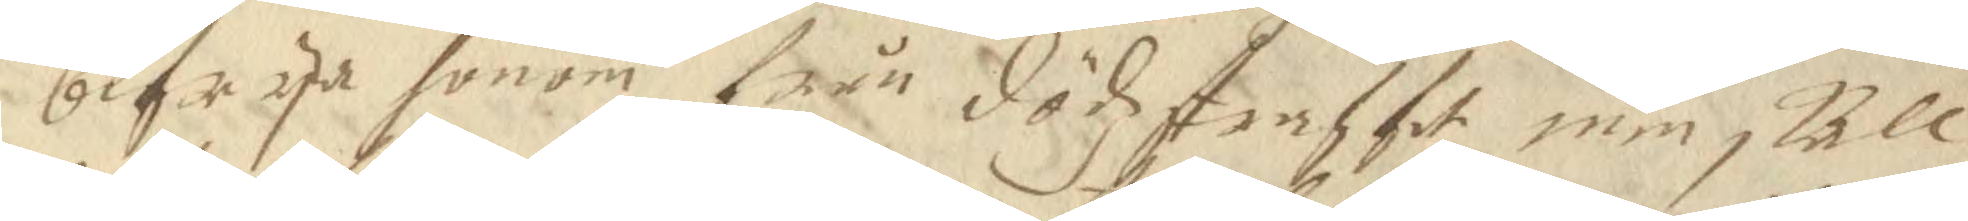befrya honom från dödzstraffet men skall
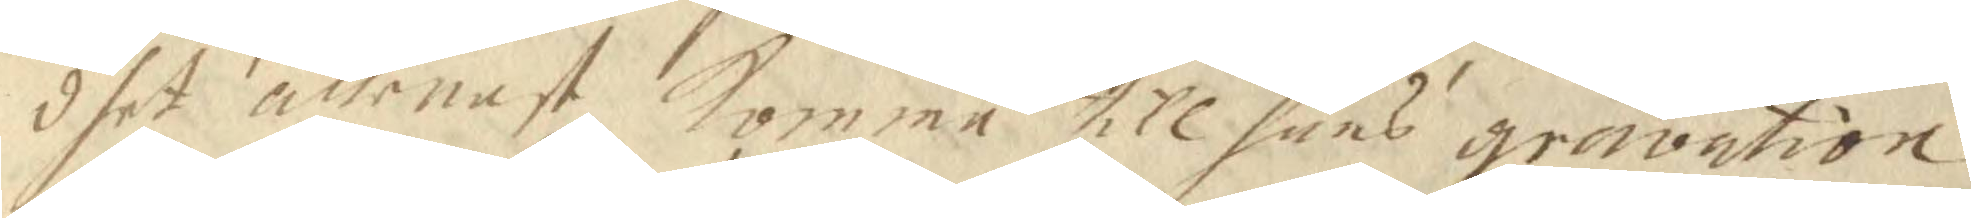dhet allenast Komma till hans gravation
